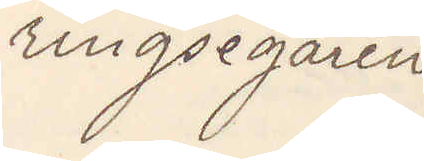ringsegaren
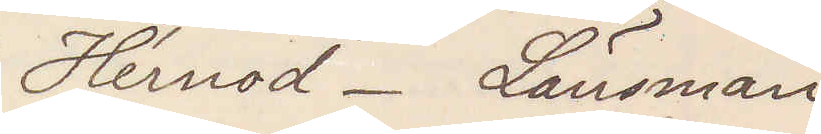Hernod. Länsman
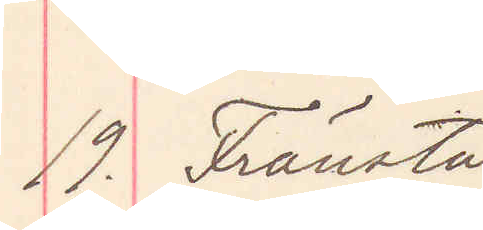19. Fränsta
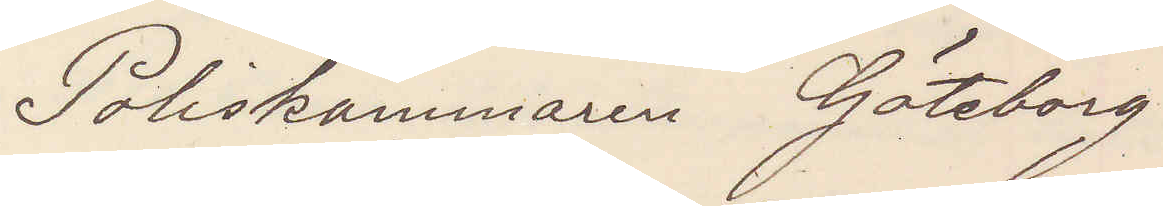Poliskammaren Göteborg
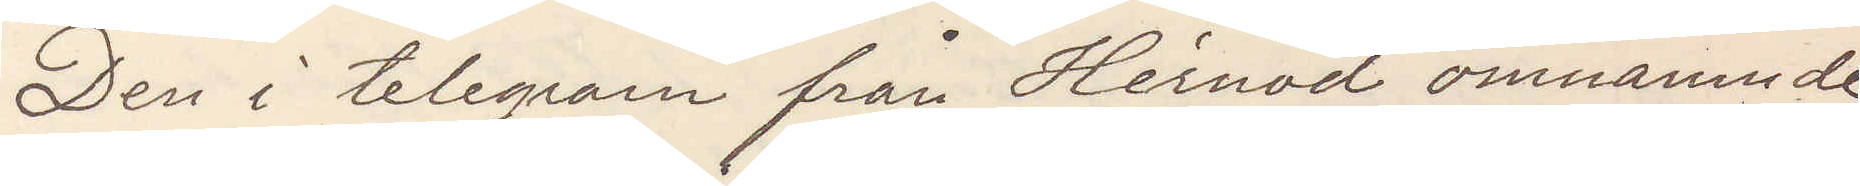Den i telegram från Hernod omnämnde
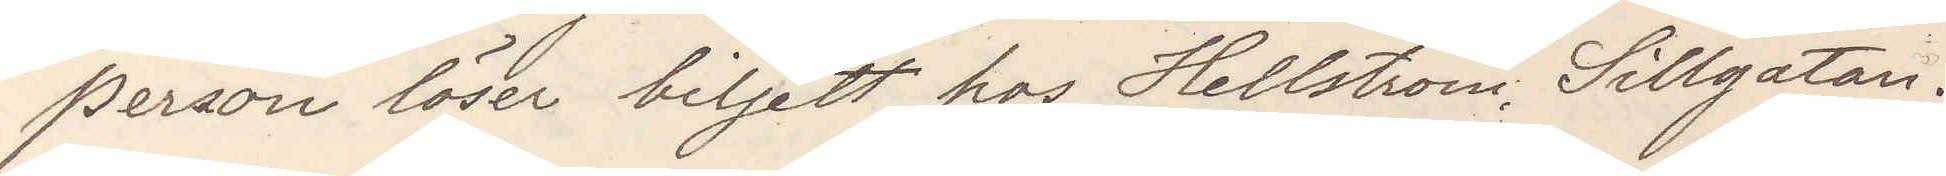person löser biljett hos Hellström, Sillgatan.
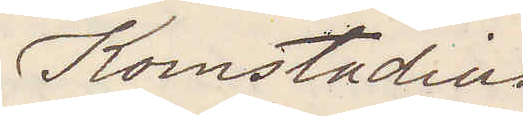Komstadius
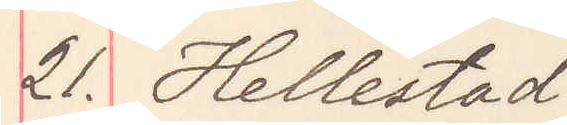21. Hellestad
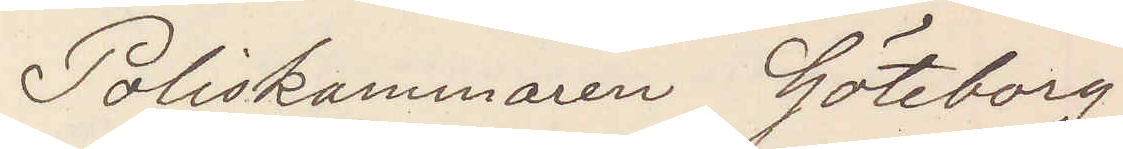Poliskammaren Göteborg
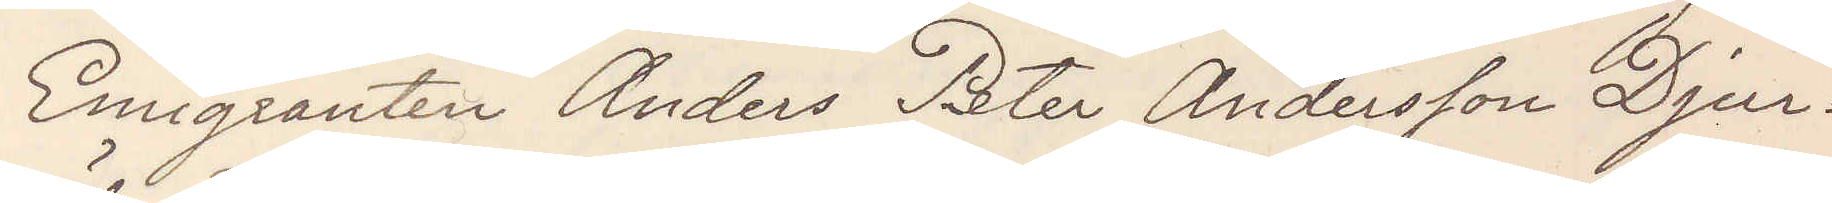Emigranten Anders Peter Andersson Djur¬
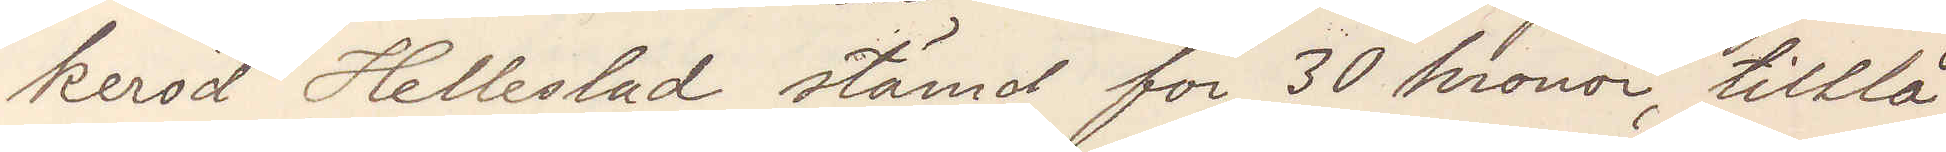keröd Hellestad stämd för 30 kronor, tillå¬
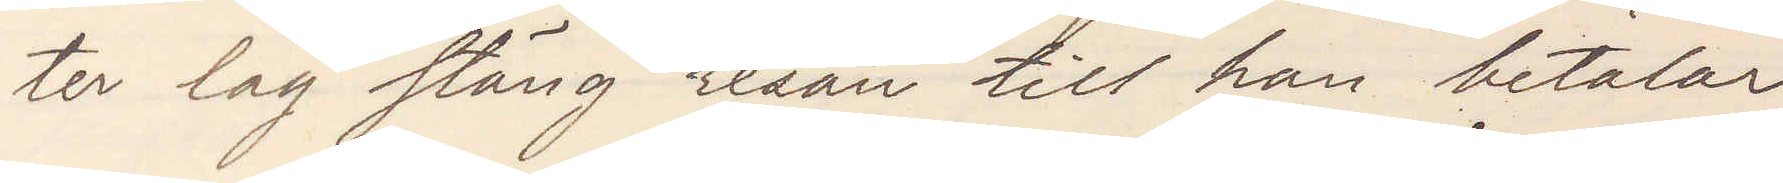ter lag stäng resan till han betalar
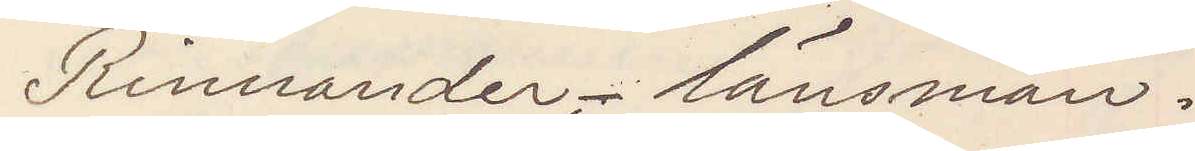Rinnander. länsman.
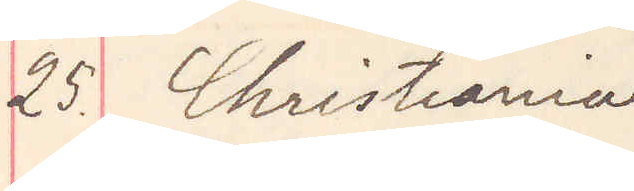25. Christiania
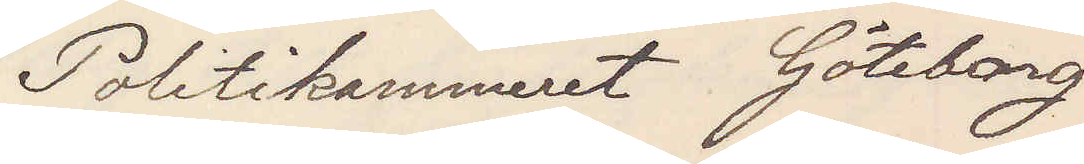Politikammeret Göteborg
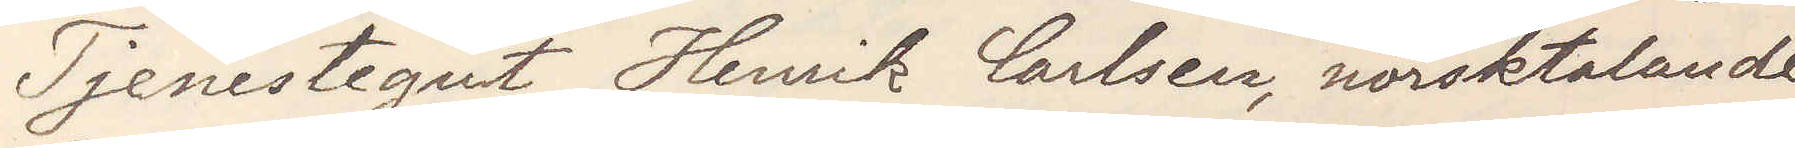Tjenstegut Henrik Carlsen, norsktalande
